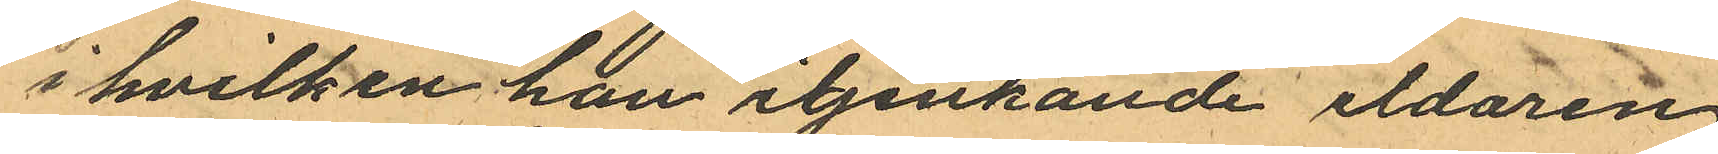i hvilken han igenkände eldaren
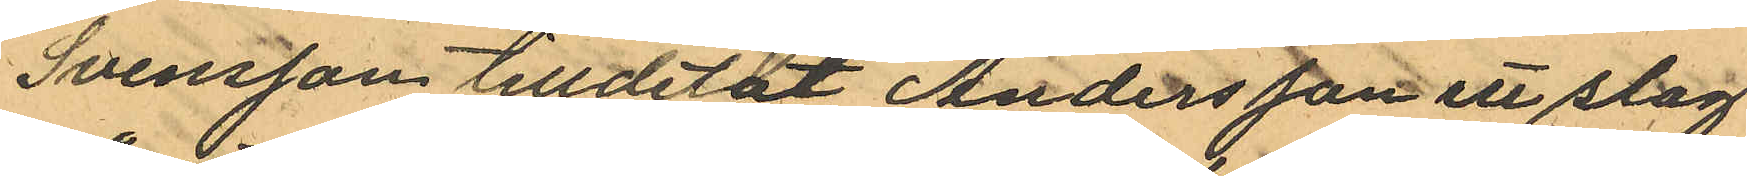Svensson tilldetat Andersson ett slag
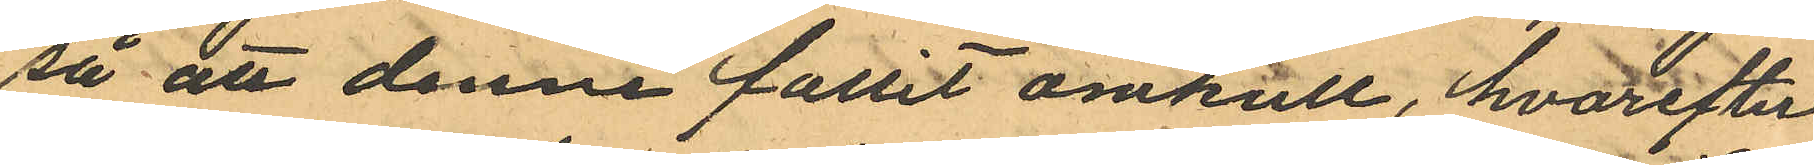så att denne fallit omkull, hvarefter
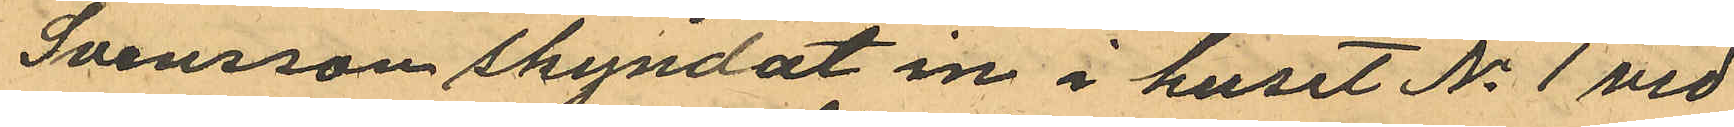Svensson skyndat in i huset No 1 vid
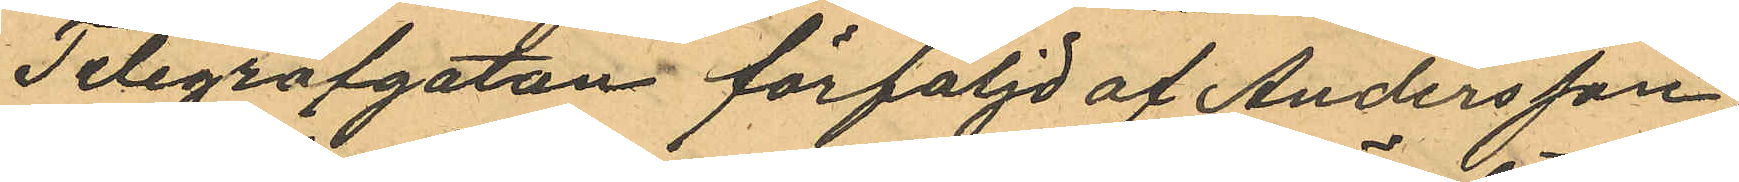Telegrafgatan förföljd af Andersson
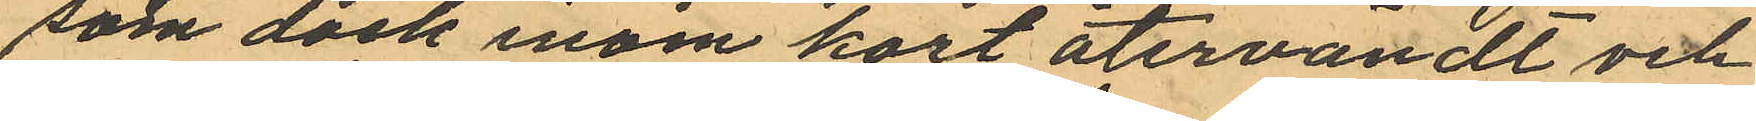som dock inom kort återvändt och
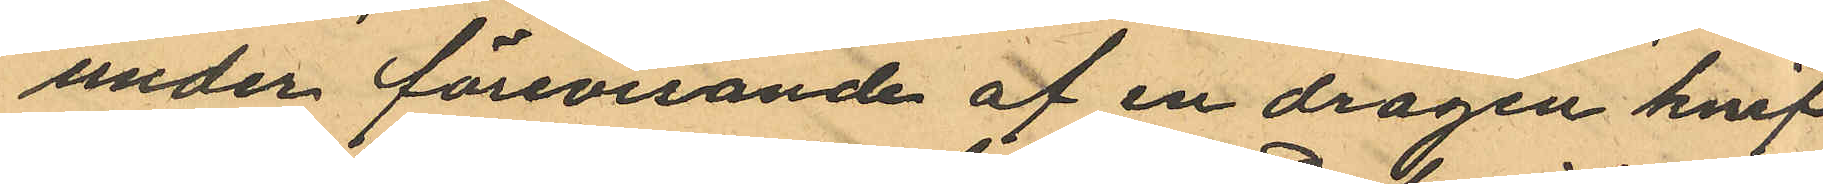under förevisande af en dragen knif
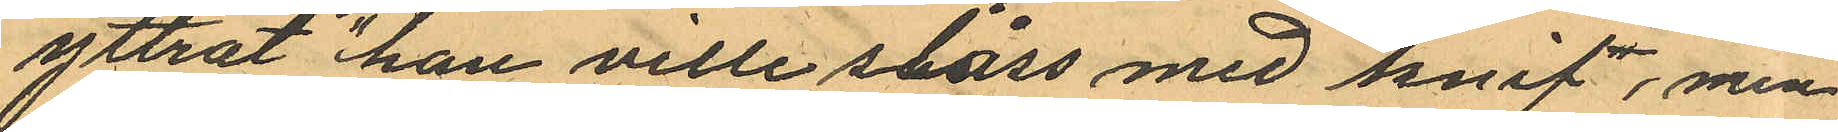yttrat "han ville slåss med knif, men
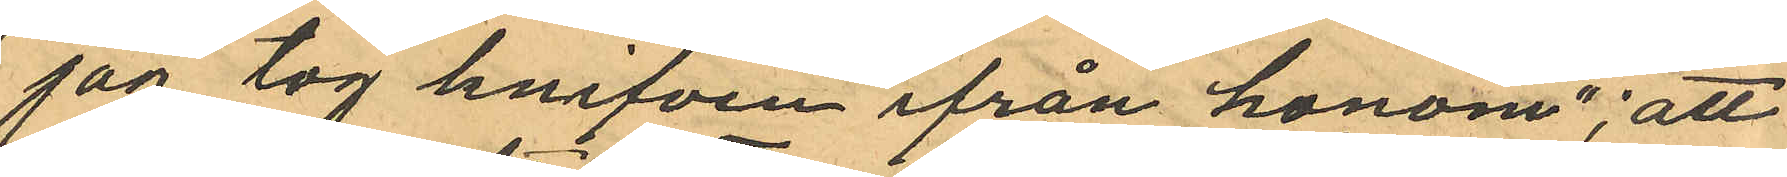jag tog knifven ifrån honom"; att
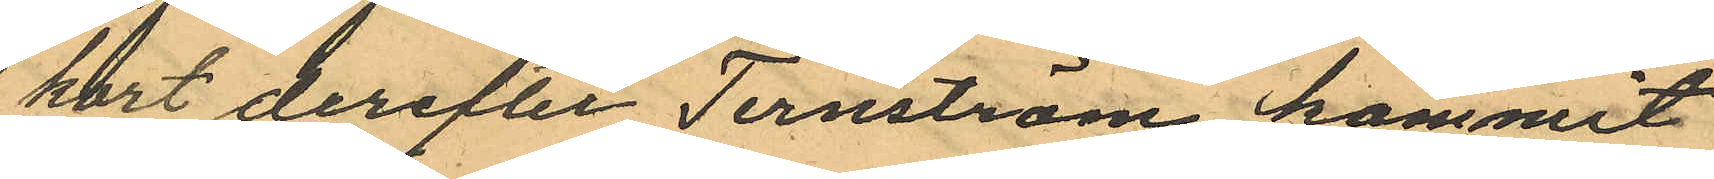kort derefter Ternström kommit
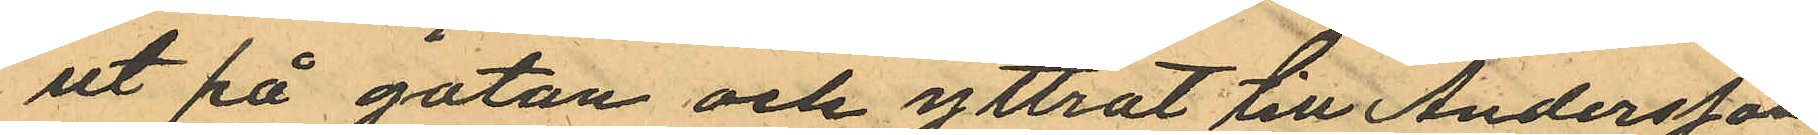ut på gatan och yttrat till Andersson
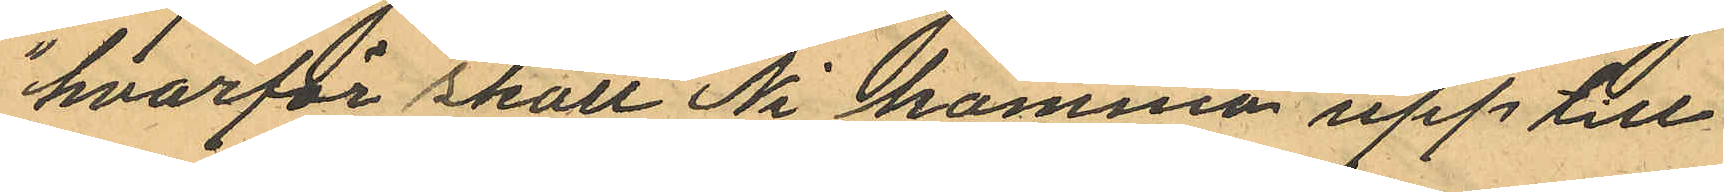"hvarför skall Ni komma upp till
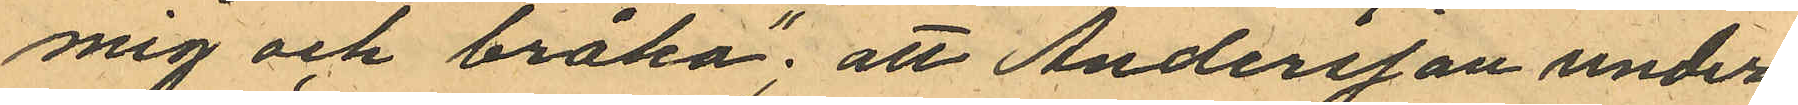mig och bråka"; att Andersson under
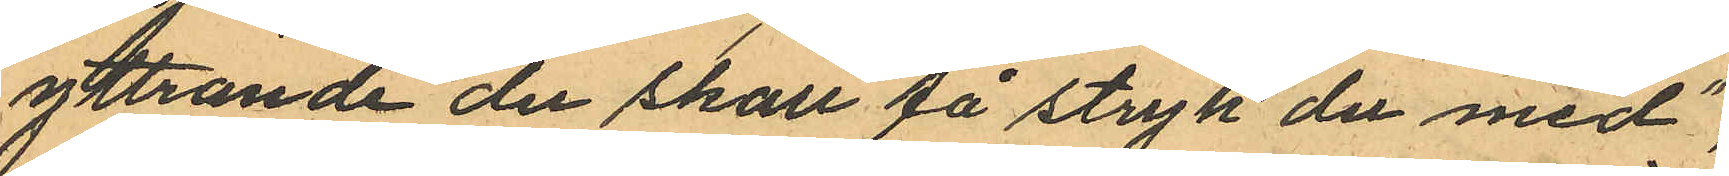yttrande "du skall få stryk du med",
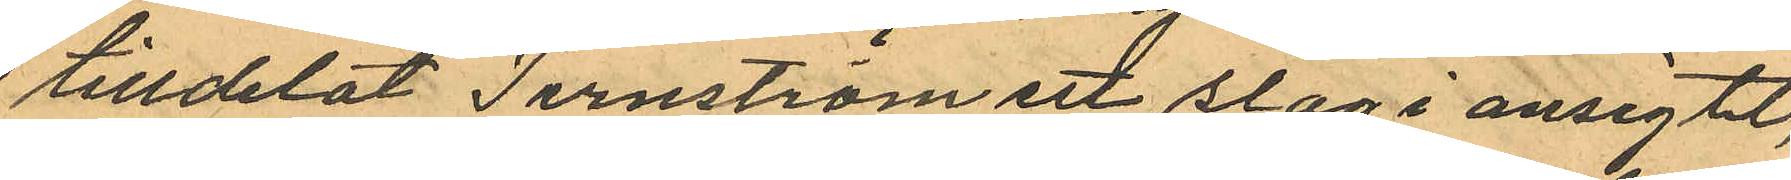tilldelat Ternström ett slag i ansigtet,
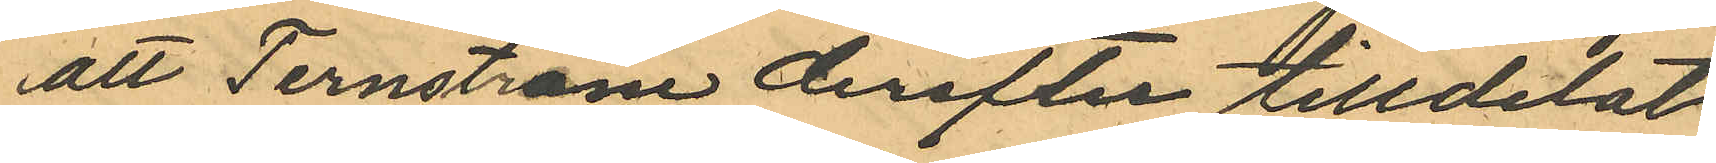att Ternström derefter tilldelat
